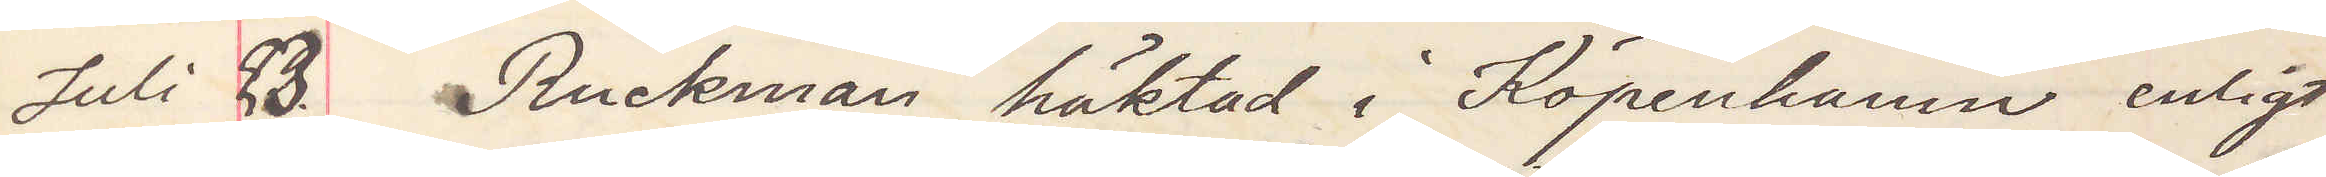Juli 23. Ruckman häktad i Köpenhamn enligt
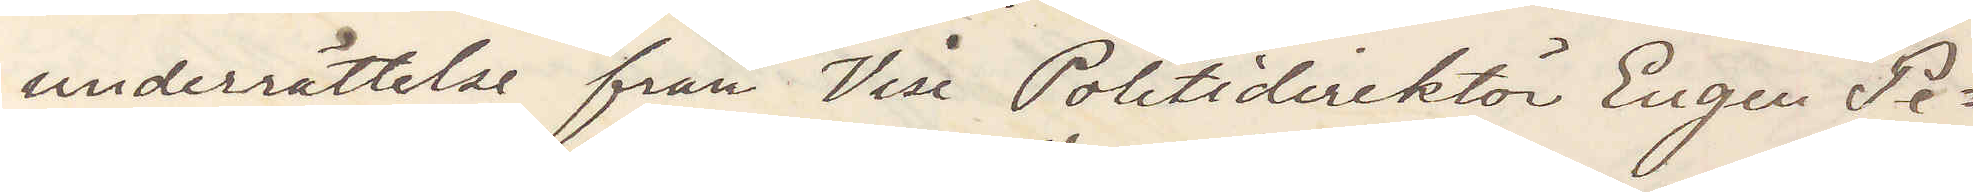underrättelse från Vise Politidirektör Eugen Pe¬
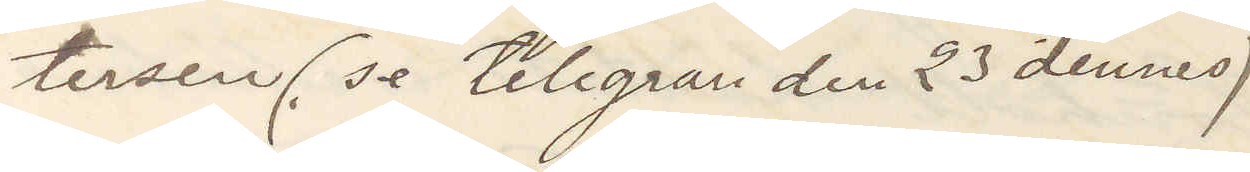tersen (se telegram den 23 dennes)
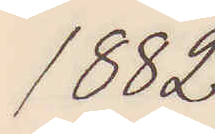1882
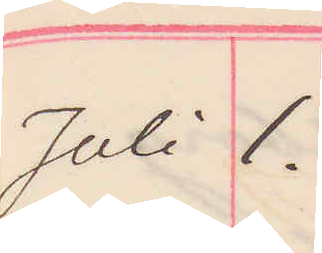Juli 1.
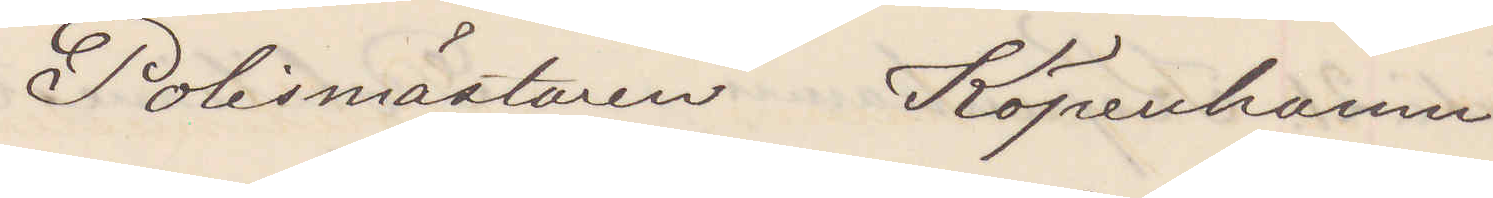Polismästaren Köpenhamn
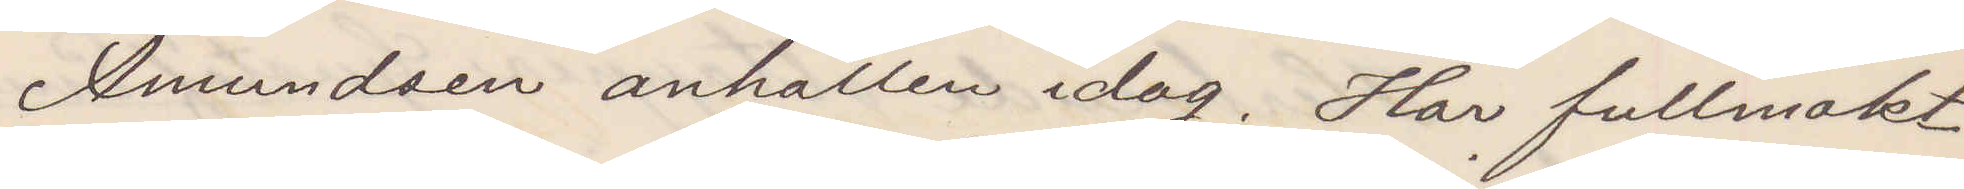Amundsen anhållen idag. Har fullmakt
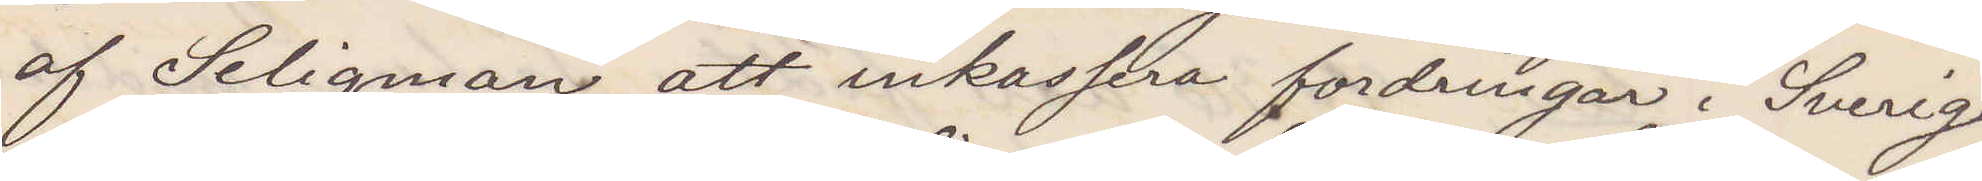af Seligman att inkassera fordringar i Sverige
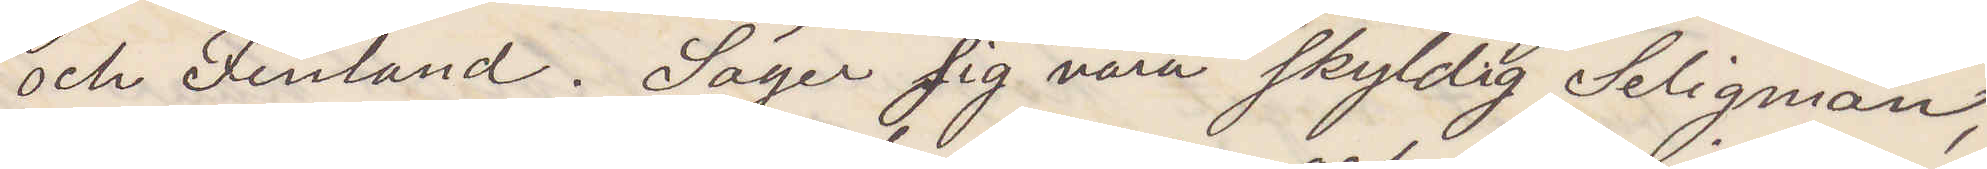och Finland. Säger sig vara skyldig Seligman
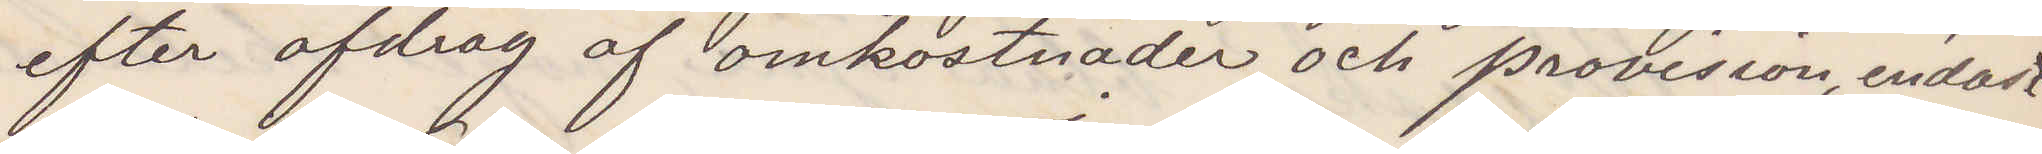efter afdrag af omkostnader och provision, endast
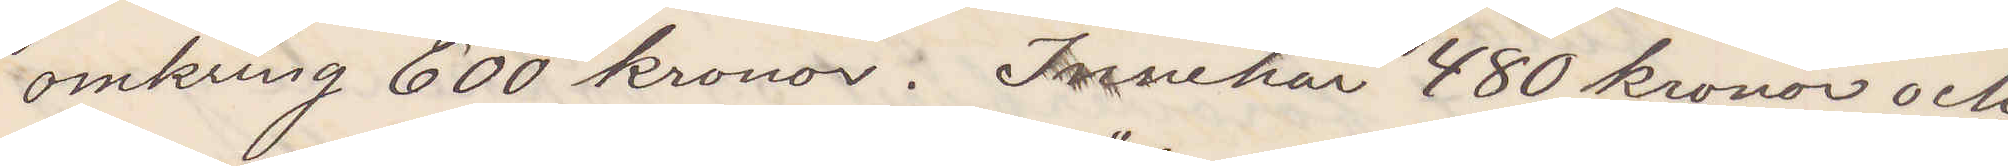omkring 600 kronor. Innehar 480 kronor och
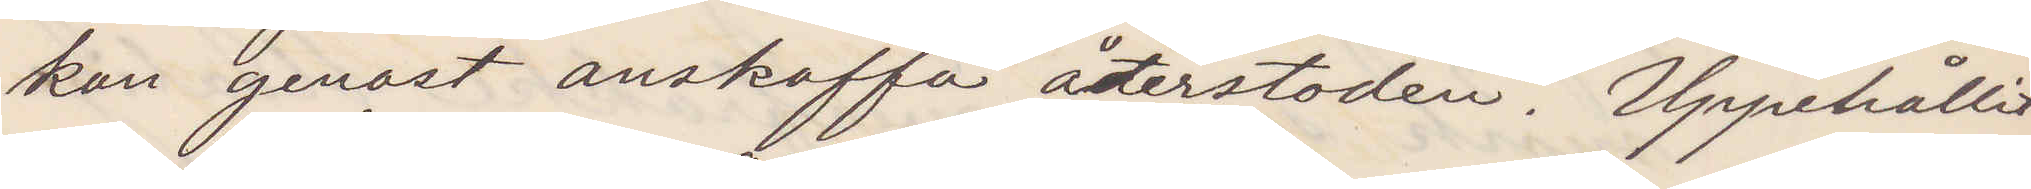kan genast anskaffa återstoden. Uppehållit
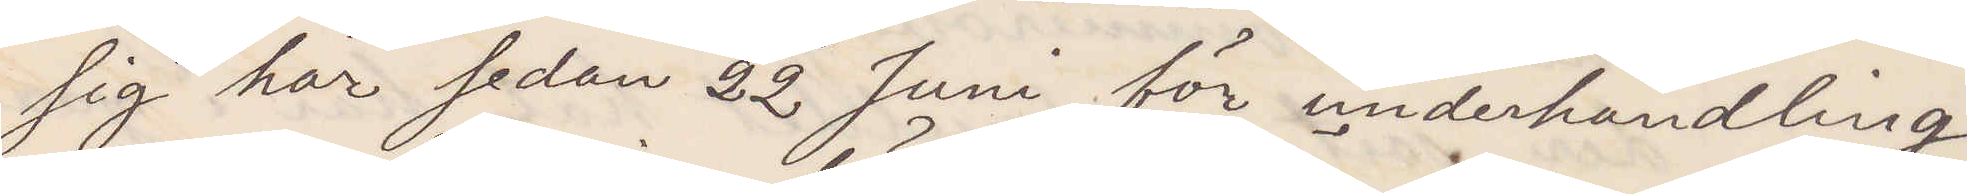sig här sedan 22 Juni för underhandling
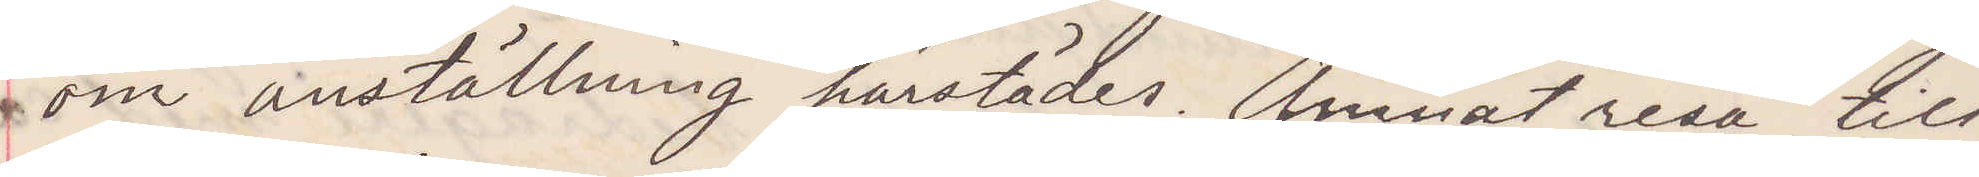om anställning härstädes. Ämnat resa till
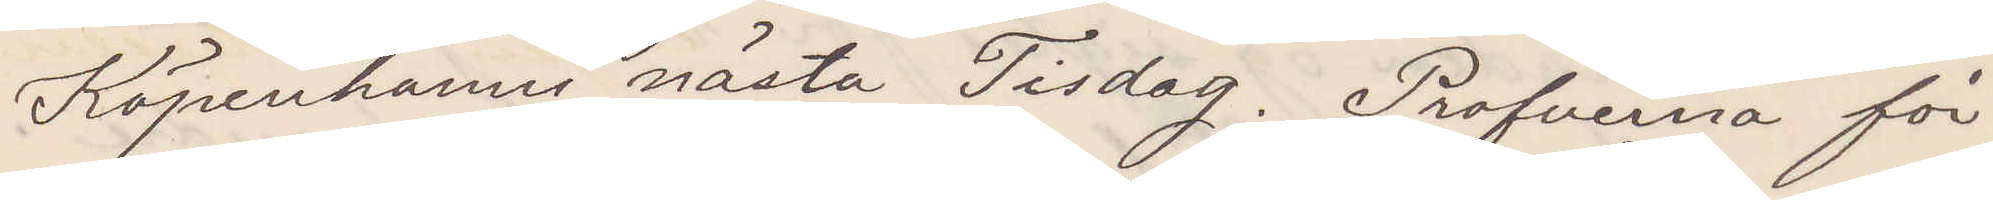Köpenhamn nästa Tisdag. Profverna för¬
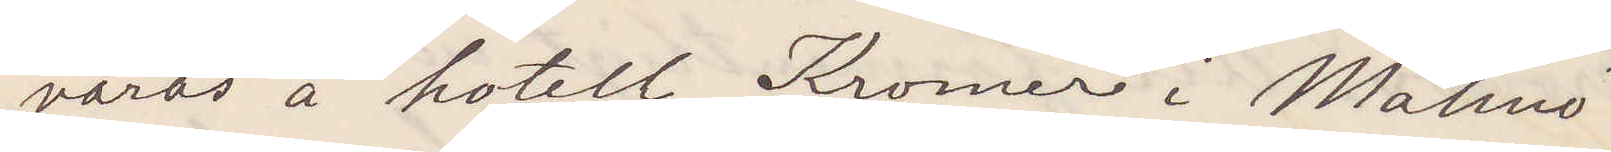varas å hotell Kramer i Malmö.
